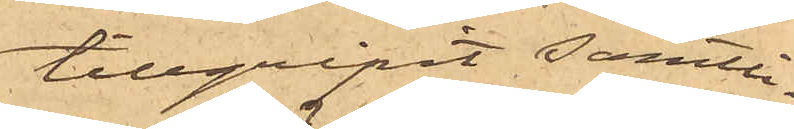tillgripit samtli¬
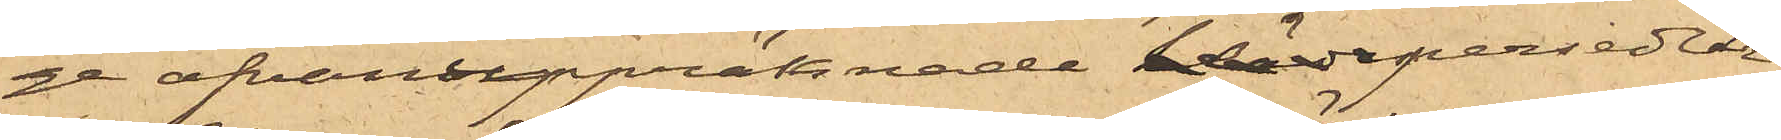ge ofvanuppräknade klädespersedlar,
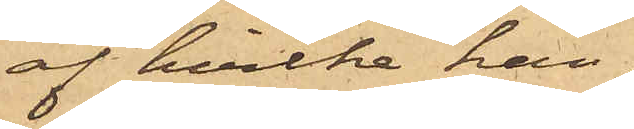af hvilka han
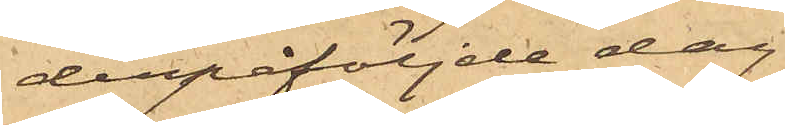derpåföljde dag
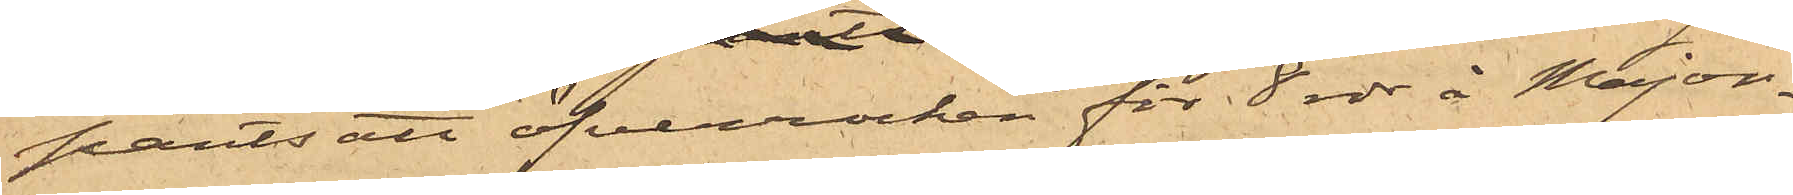pantsatt öfverrocken för 8 rdr å Major¬
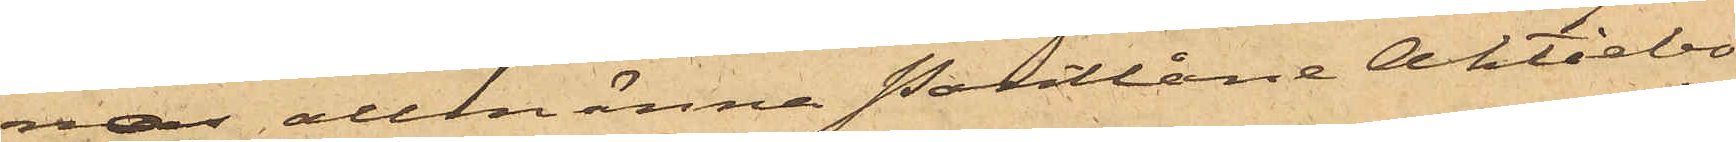nas allmänna Pantlåne Aktiebo¬
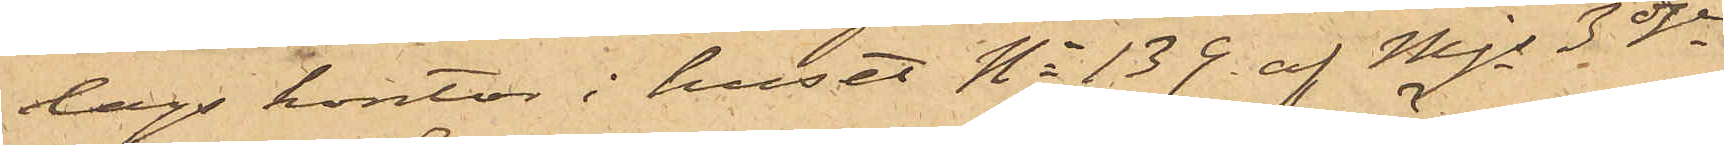lags kontor i huset No 139 af Mjs 3dje
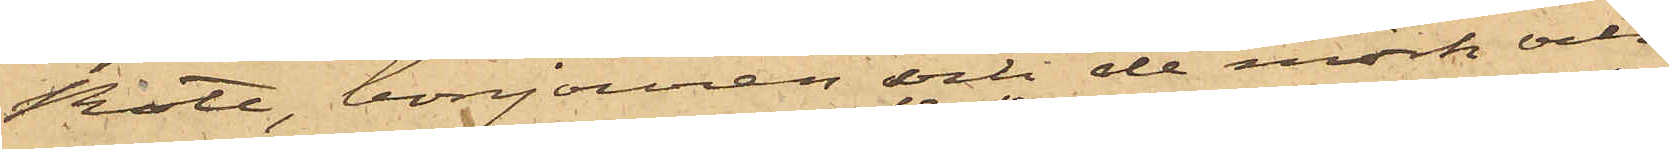Rote, bonjouren och de mörk och
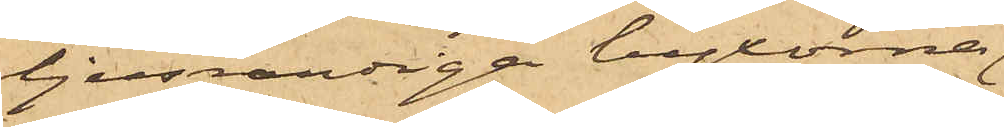ljusrandiga byxorna
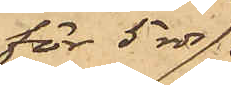för 5 rdr
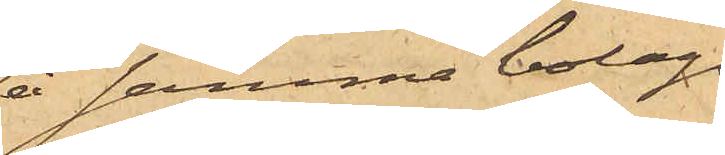å samma bolags
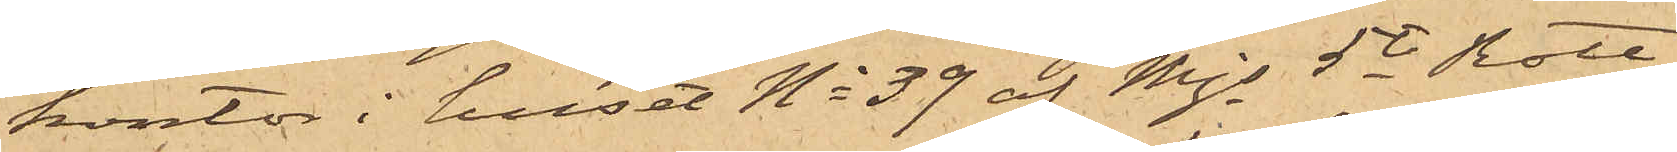kontor i huset No 39 af Mjs 5te Rote
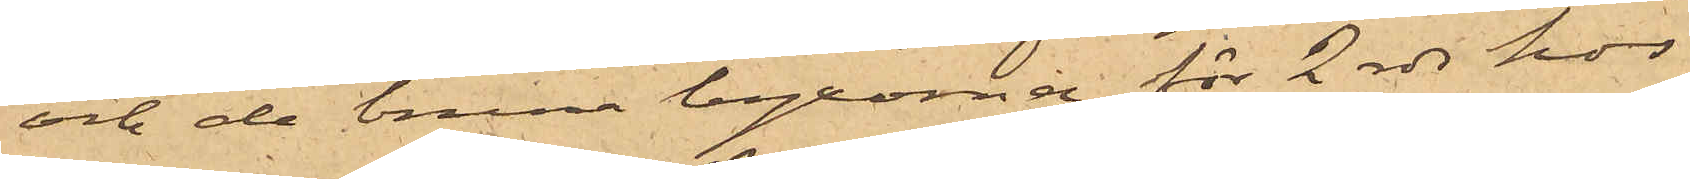och de bruna byxorna för 2 rdr hos
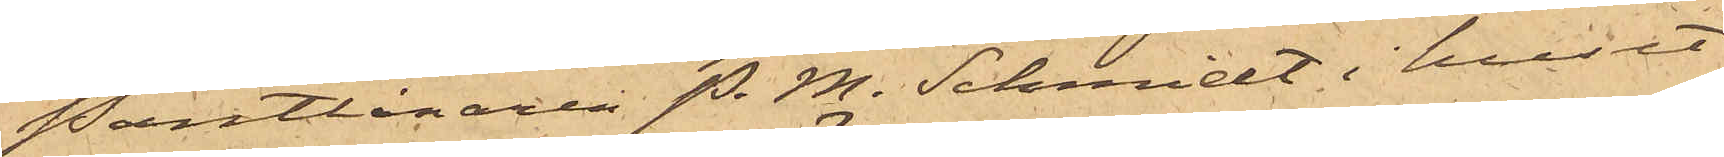Pantlånaren P. M. Schmidt i huset
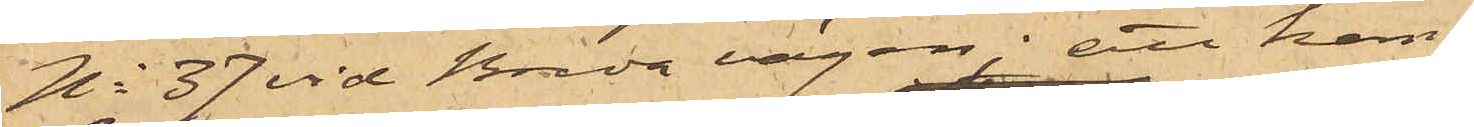No 37 vid Breda vägen; att han
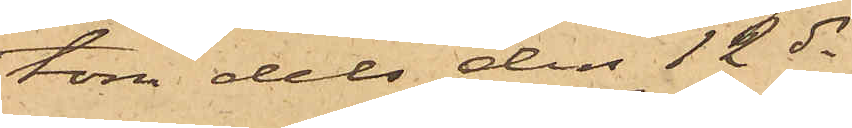tom dels den 12 ds
